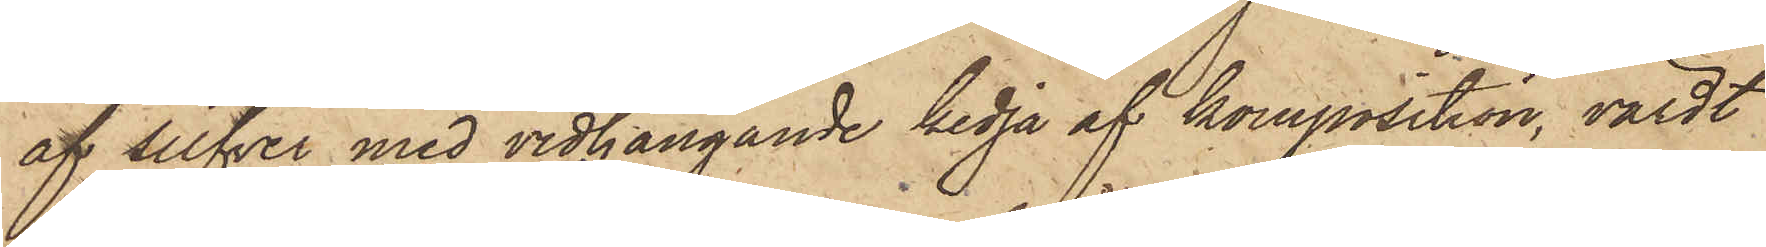af silfver med vidhängande kedja af komposition, värdt
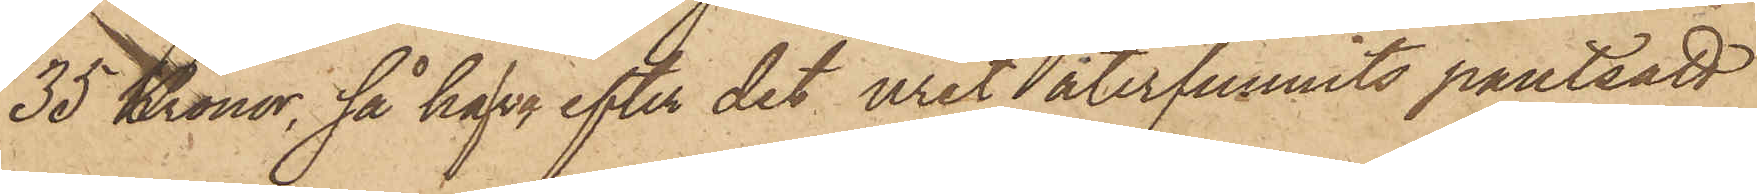35 Kronor, så hafva efter det uret återfunnits pantsatt
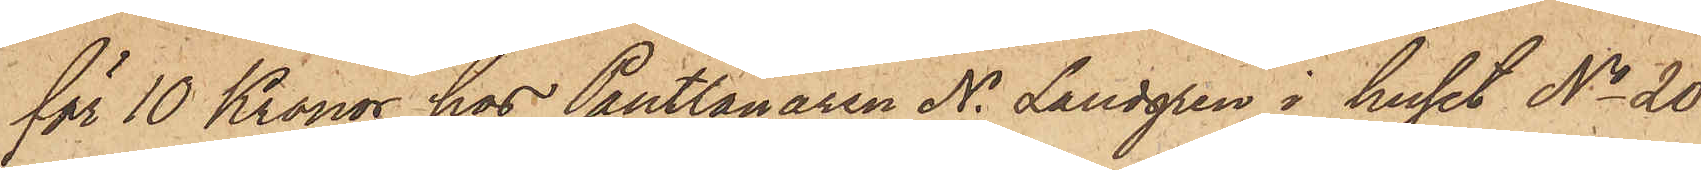för 10 Kronor hos Pantlånaren N. Landgren i huset No 20
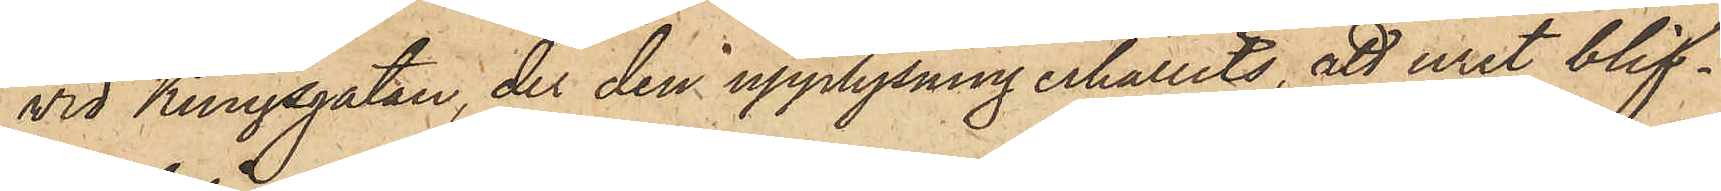vid Kungsgatan, der den upplysning erhållits, att uret blif¬
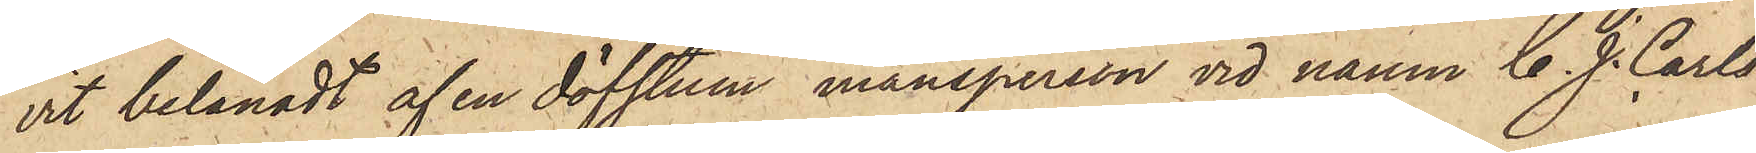vit belånadt af en döfstum mansperson vid namn C. J. Carls¬
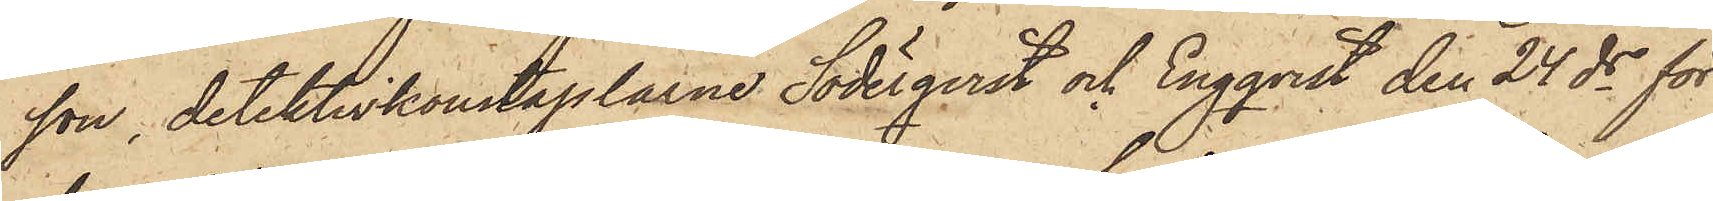son, detektivkonstaplarne Söderqvist och Engqvist den 24 ds för
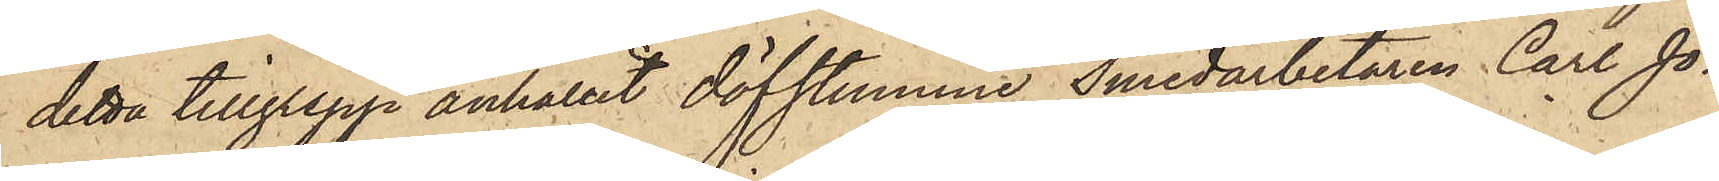detta tillgrepp anhållit döfstumme Smedarbetaren Carl Jo¬
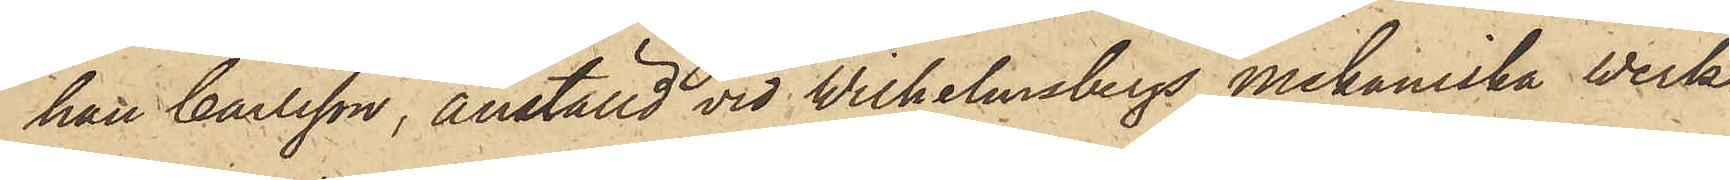han Carlsson, anställd vid Wilhelmsbergs mekaniska verk¬
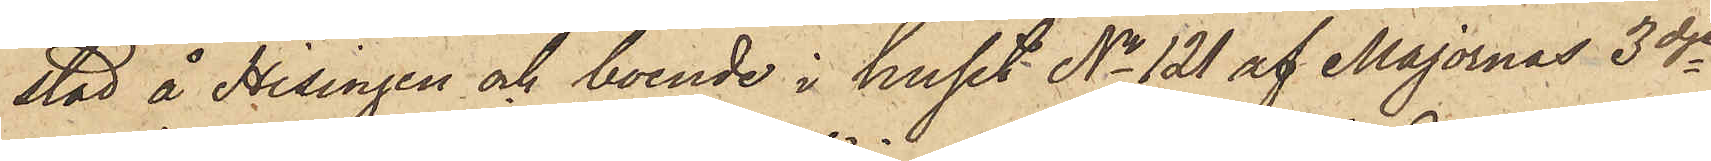stad å Hisingen och boende i huset No 121 af Majornas 3dje
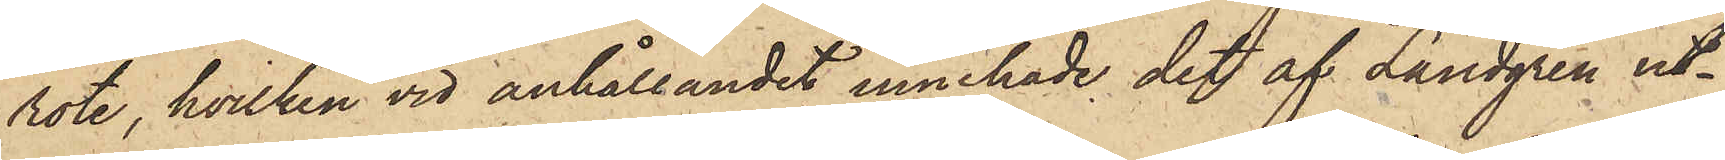rote, hvilken vid anhållandet innehade det af Landgren ut¬
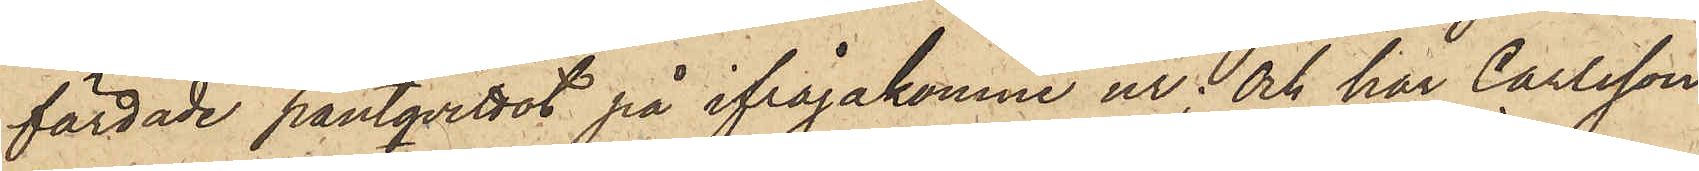färdade pantqvittot på ifrågakomne ur; och har Carlsson
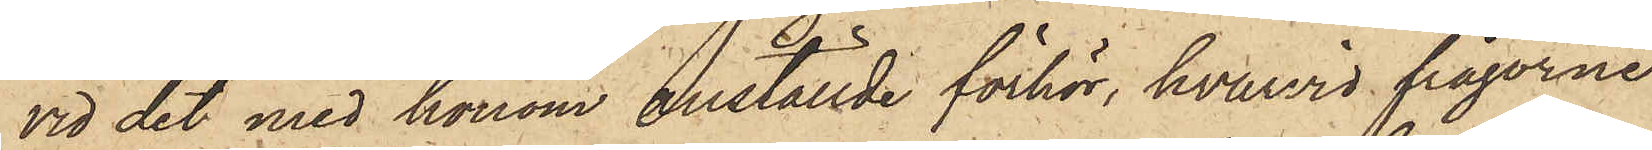vid det med honom anställde förhör, hvarvid frågorne
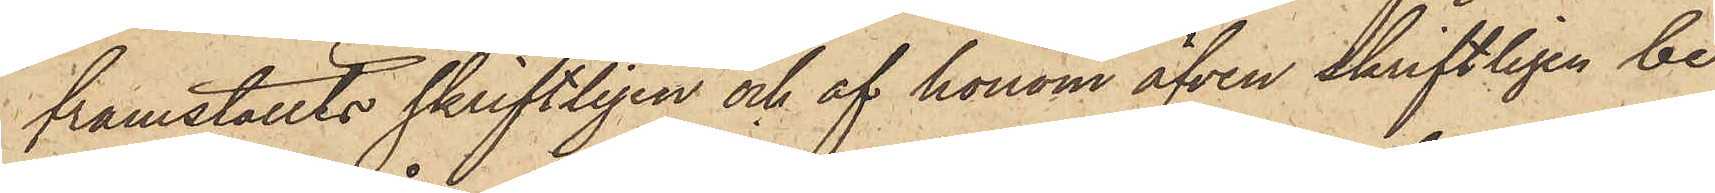framställts skriftligen och af honom äfven skriftligen be¬
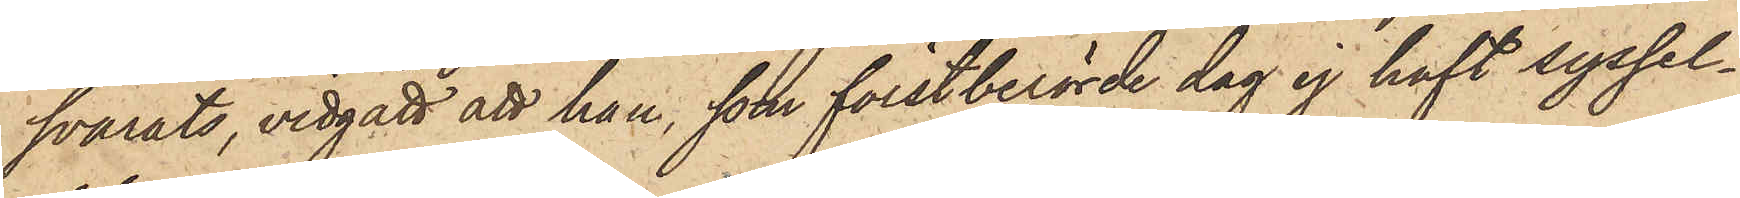svarats, vidgått att han, som förstberörde dag ej haft syssel¬
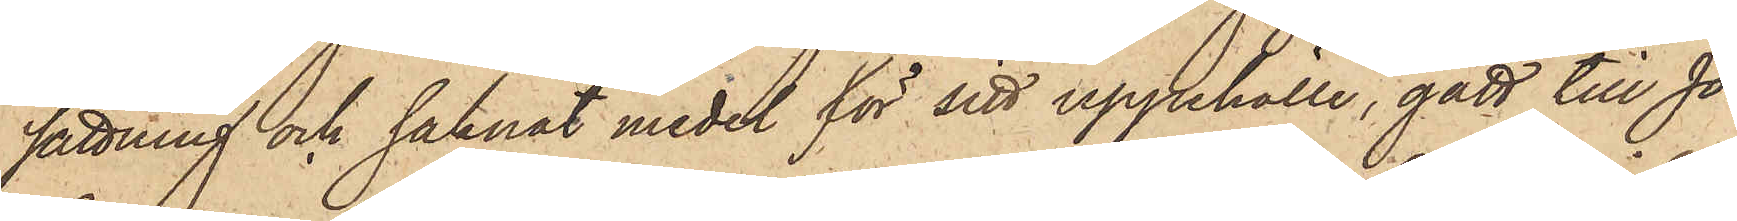sättning och saknat medel för sitt uppehälle, gått till Jo¬
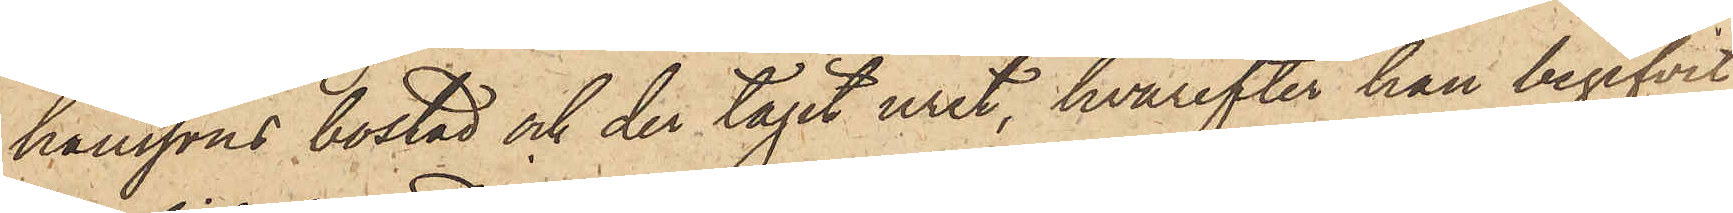hanssons bostad och der tagit uret, hvarefter han begifvit
